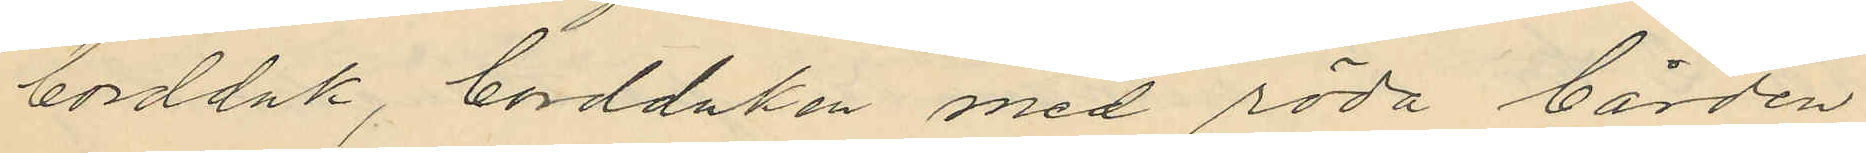bordduk, bordduken med röda bården
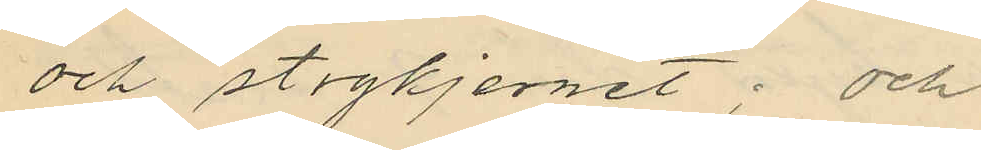och stogkjernet; och
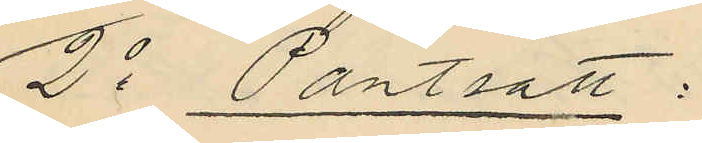2o Pantsatt:
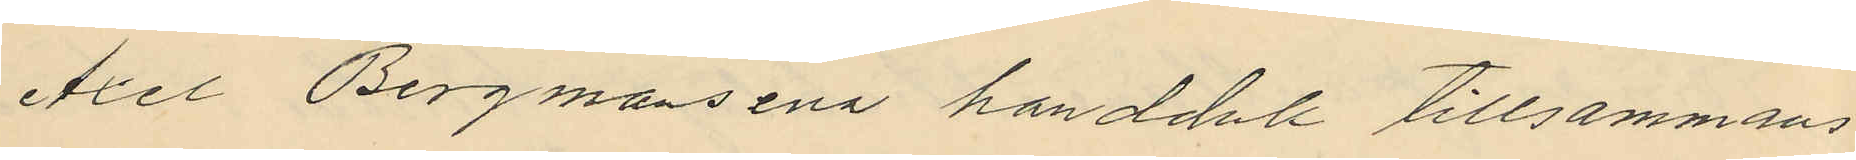Axel Bergmans ena handduk tillsammans
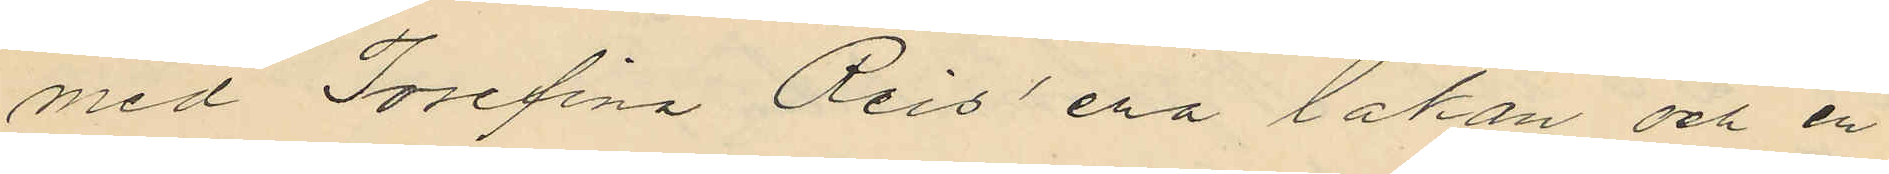med Josefina Reis´ ena lakan och en
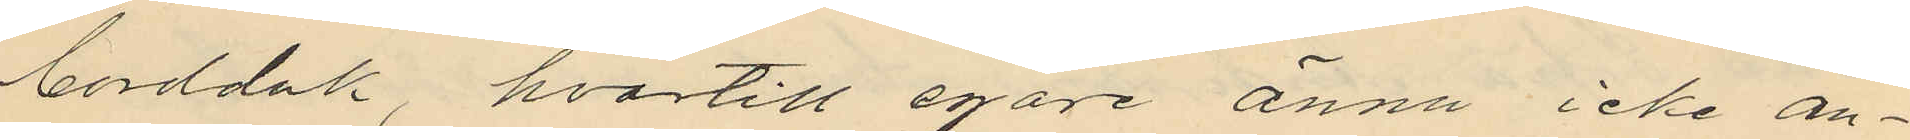bordduk, hvartill egare ännu icke an¬
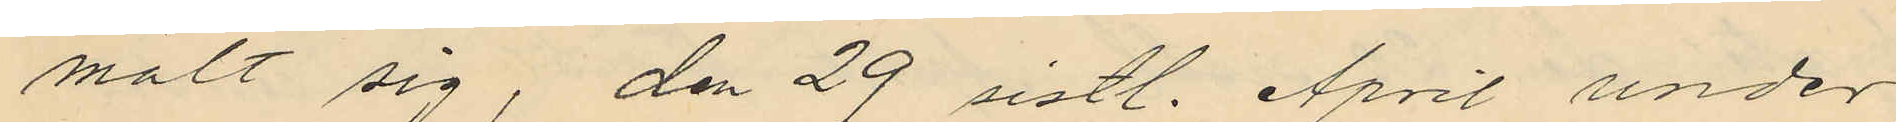mält sig, den 29 sistl. April under
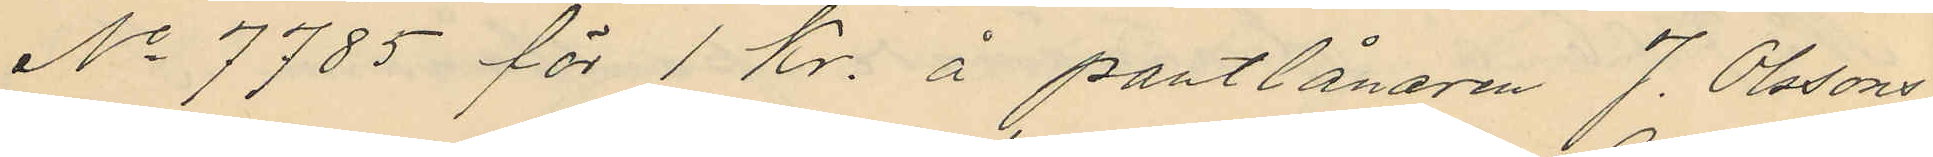No 7785 för 1 Kr. å pantlånaren J. Olssons
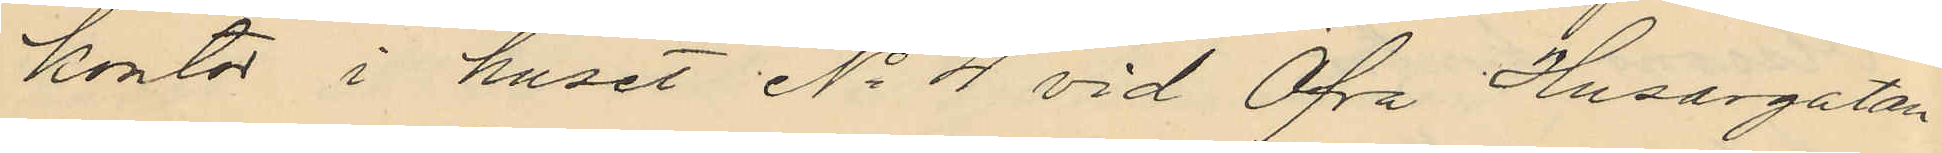kontor i huset No 4 vid Öfra Husargatan
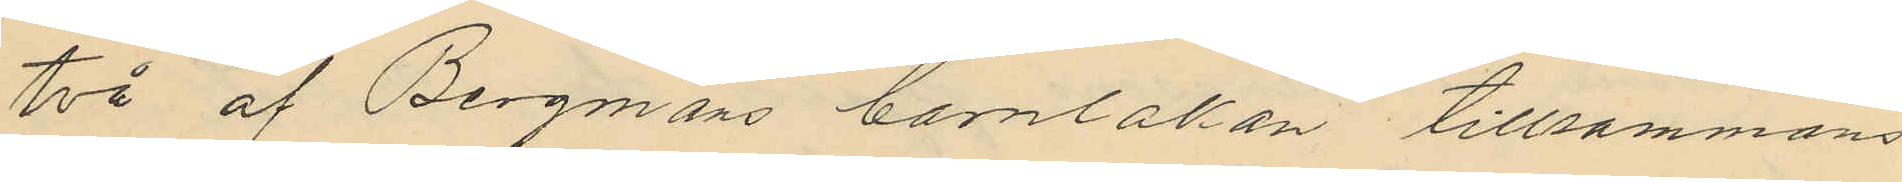två af Bergmans barnlakan tillsammans
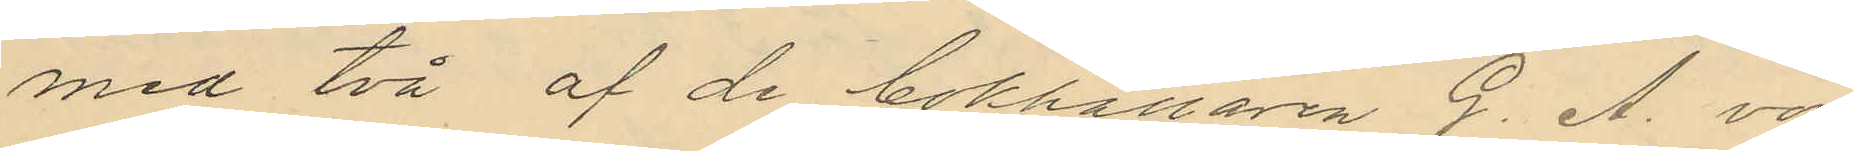med två af de bokhållaren G. A. von
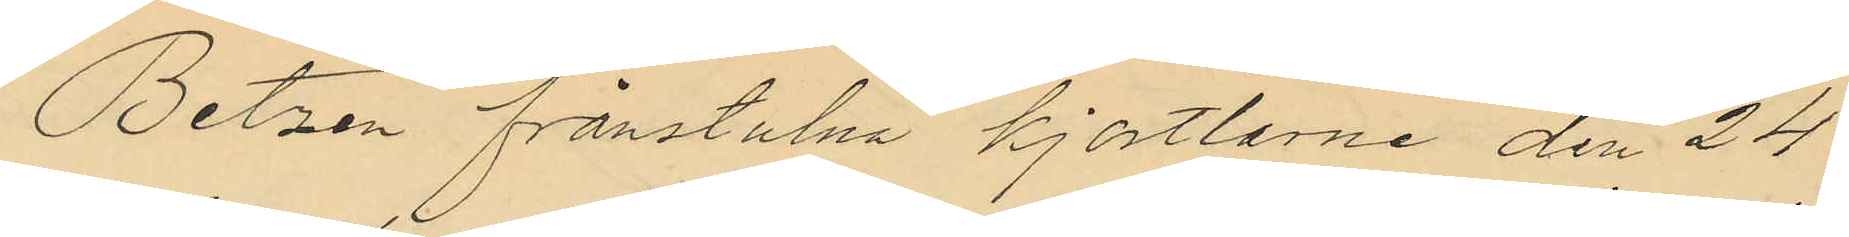Betzen frånstulna kjortlarne den 24
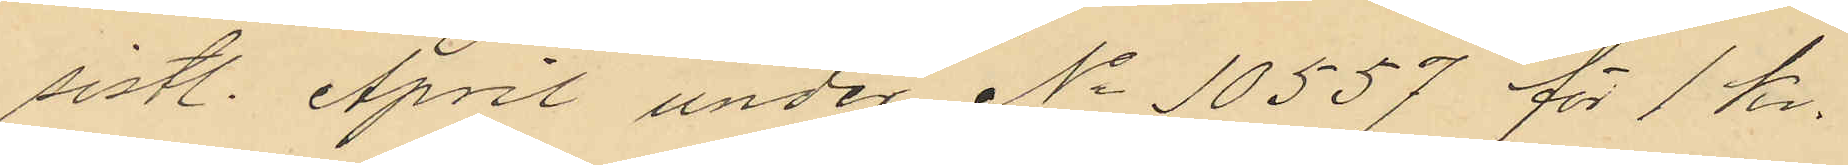sistl. April under No 10557 för 1 kr.
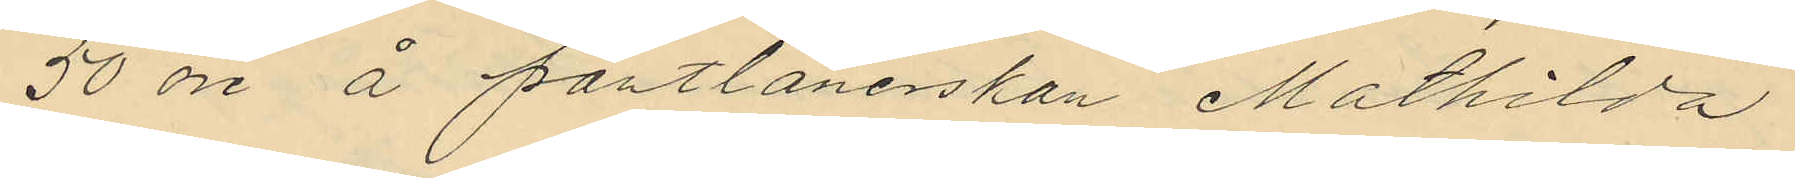50 öre å pantlånerskan Mathilda
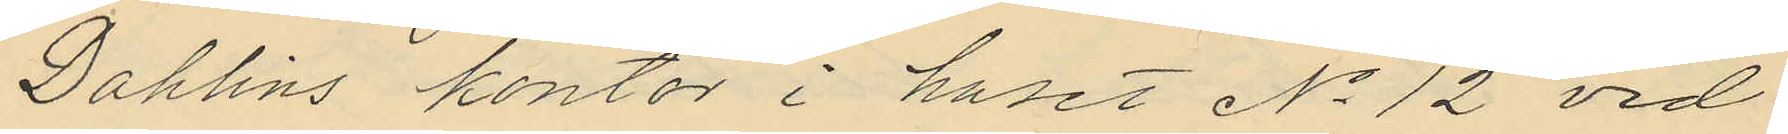Dahlins kontor i huset No 12 vid
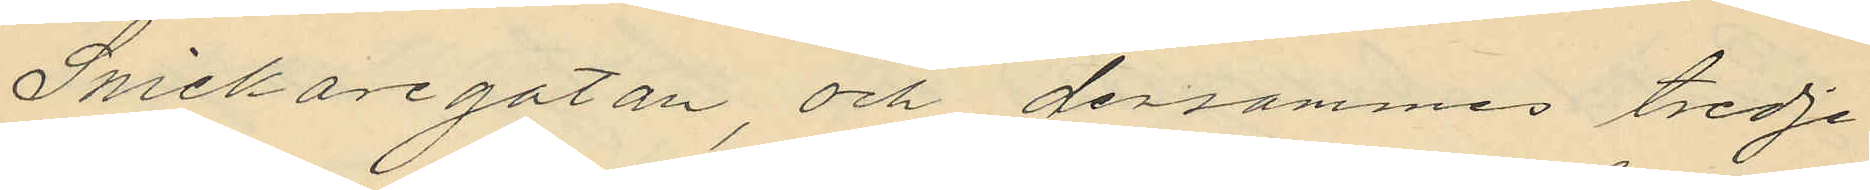Snickaregatan och densammes tredje
